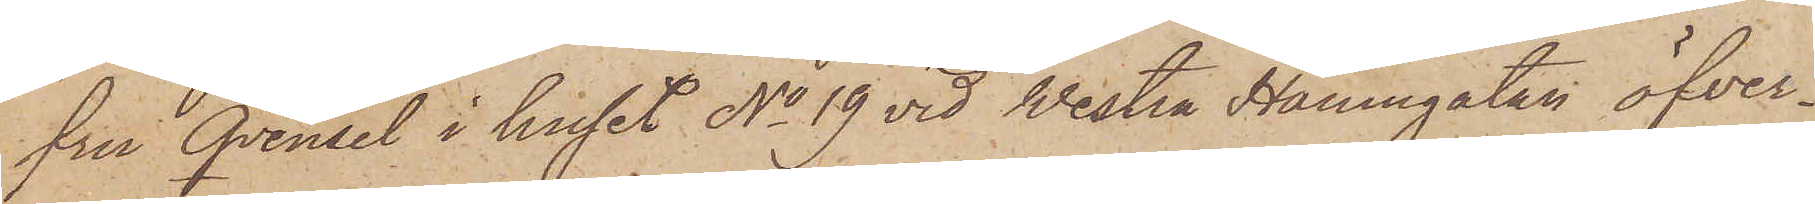fru Qvensel i huset No 19 vid Westra Hamngatan öfver¬
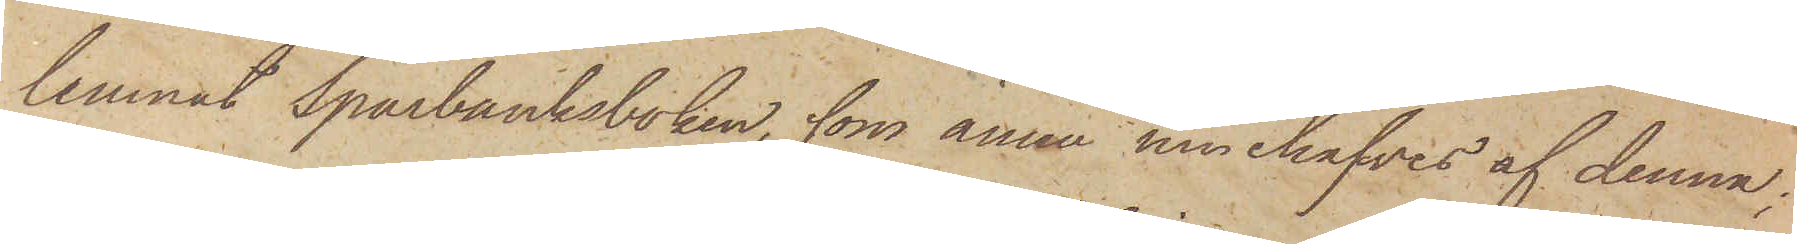lemnat Sparbanksboken, som ännu innehafves af denna;
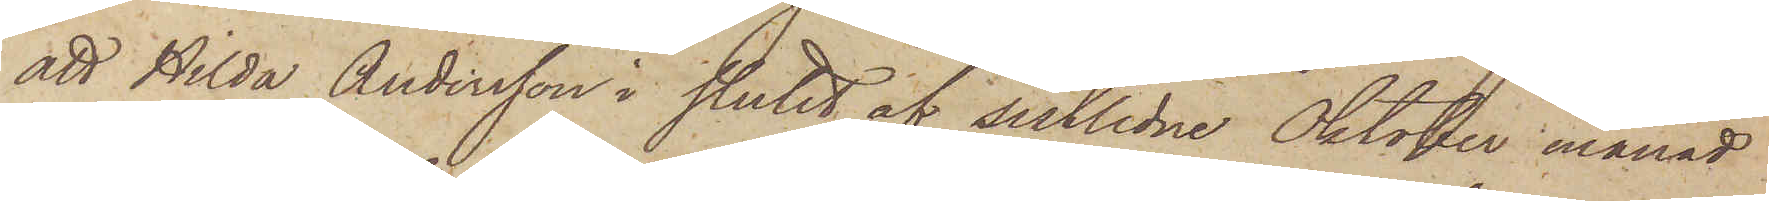att Hilda Andersson i slutet af sistlidne Oktober månad
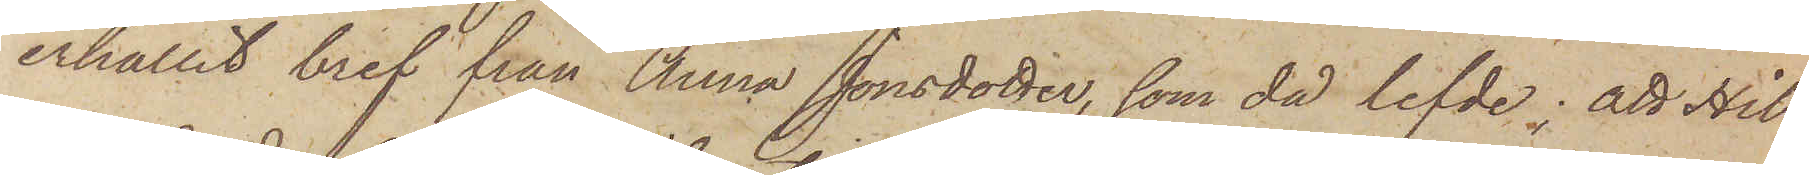erhållit bref från Anna Jonsdotter, som då lefde; att Hil¬
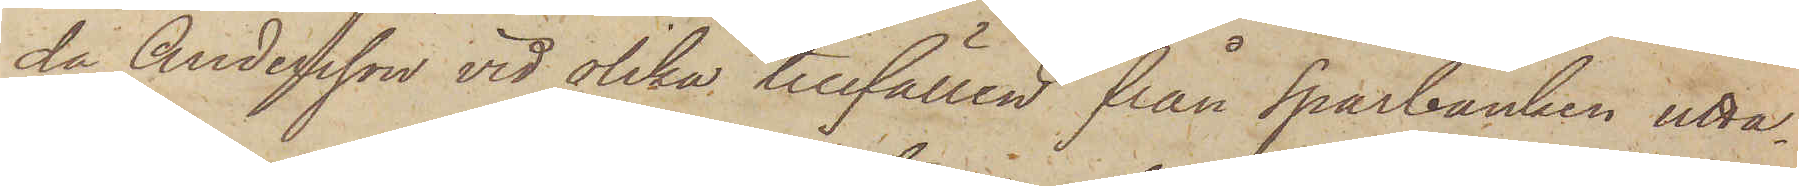da Andersson vid olika tillfällen från Sparbanken utta¬
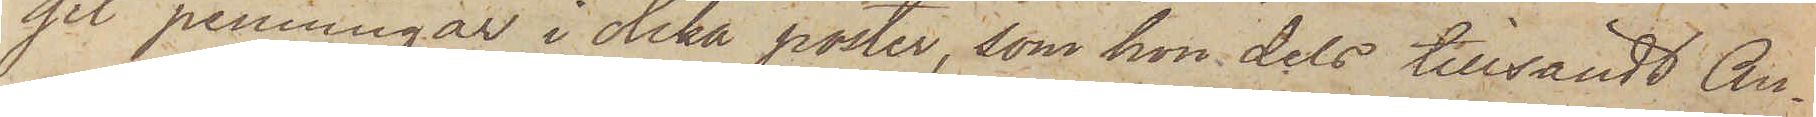git penningar i olika poster, som hon dels tillsändt An¬
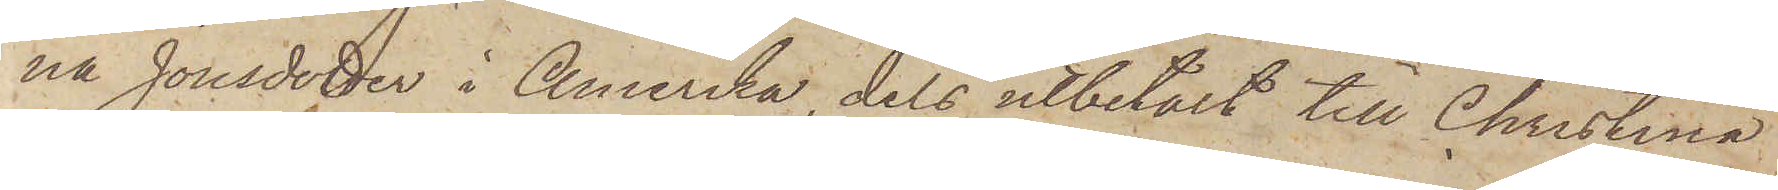na Jonsdotter i Amerika, dels utbetalt till Christina
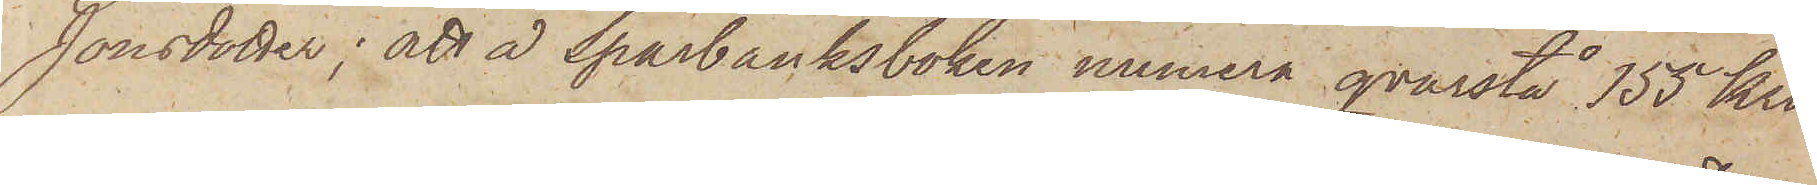Jonsdotter; att å Sparbanksboken numera qvarstå 155 kro¬
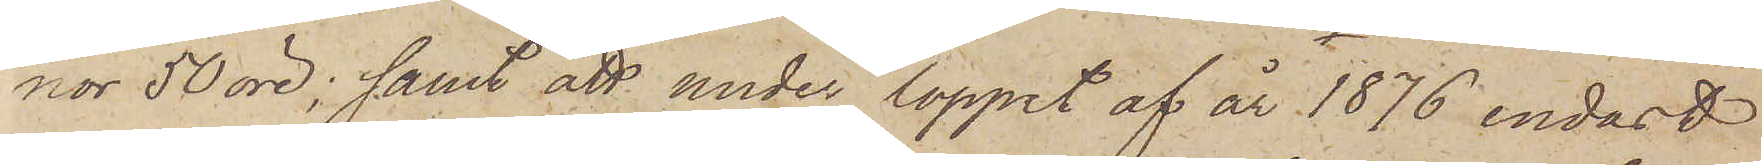nor 50 öre; samt att under loppet af år 1876 endast
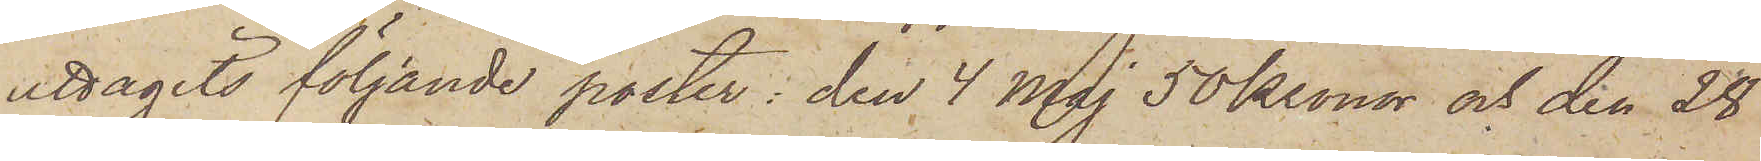uttagits följande poster: den 4 Maj 50 Kronor och den 28
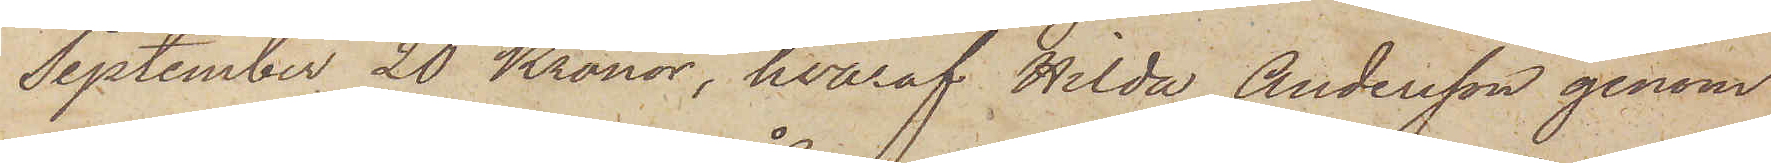September 20 Kronor, hvaraf Hilda Andersson genom
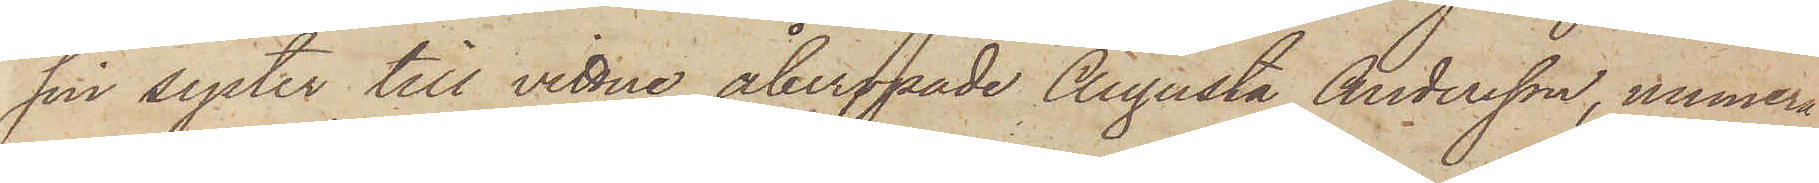sin syster till vittne åberopade Augusta Andersson, numera
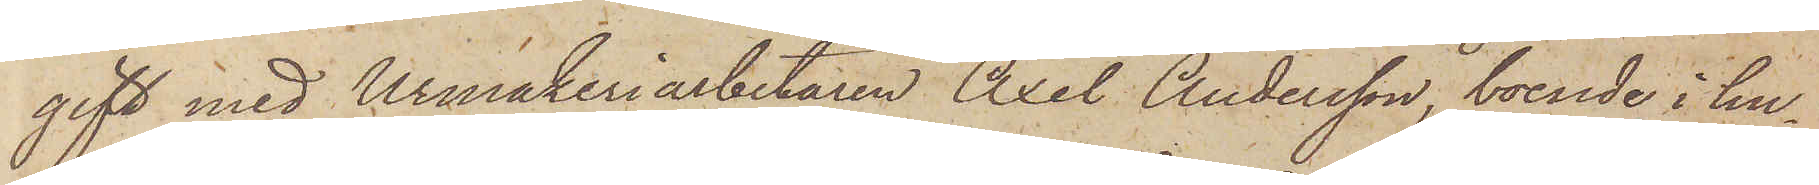gift med Urmakeriarbetaren Axel Andersson, boende i hu¬
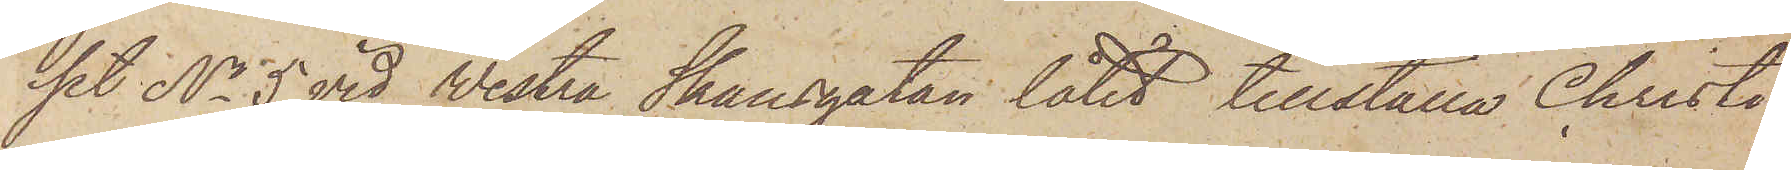set No 5 vid Westra Skansgatan låtit tillställa Christi¬
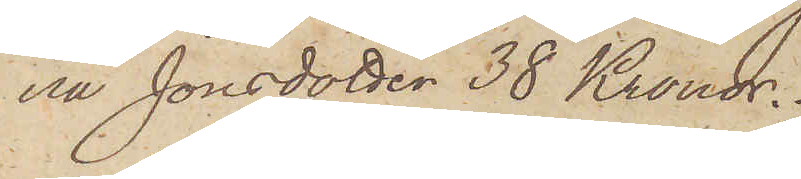ena Jonsdotter 38 Kronor.
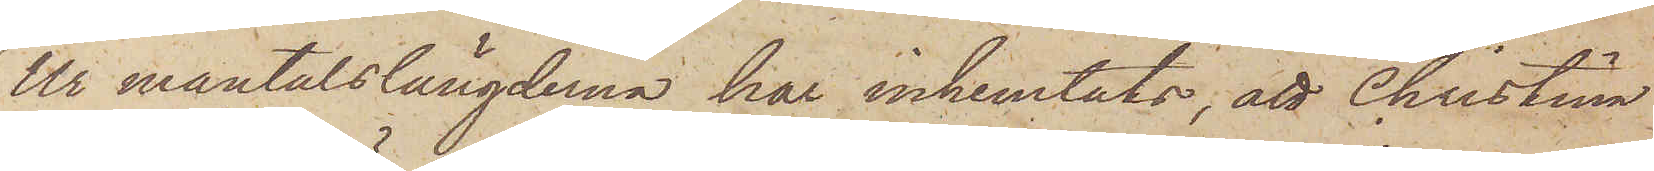Ur mantalslängderna har inhemtats; att Christina
